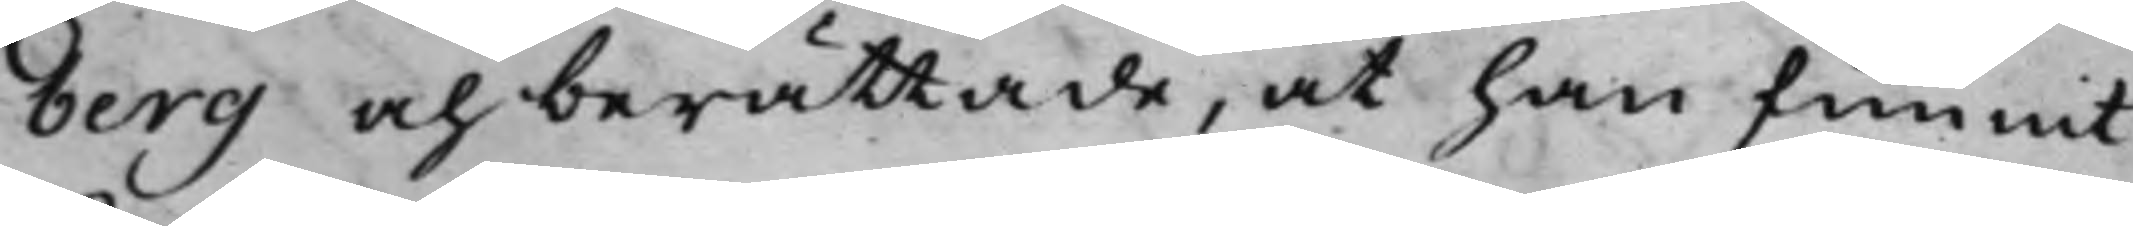berg och berättade, at han funnit
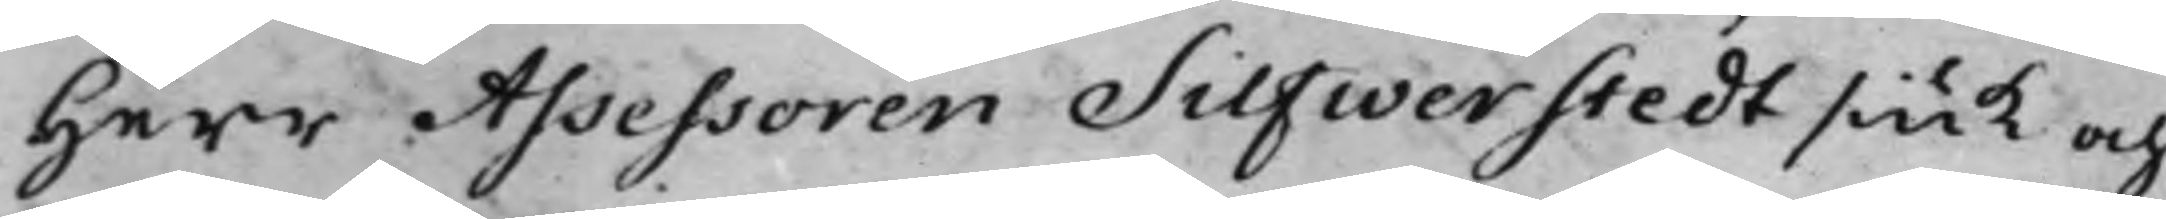Herr Assessoren Silfwerstedt siuk och
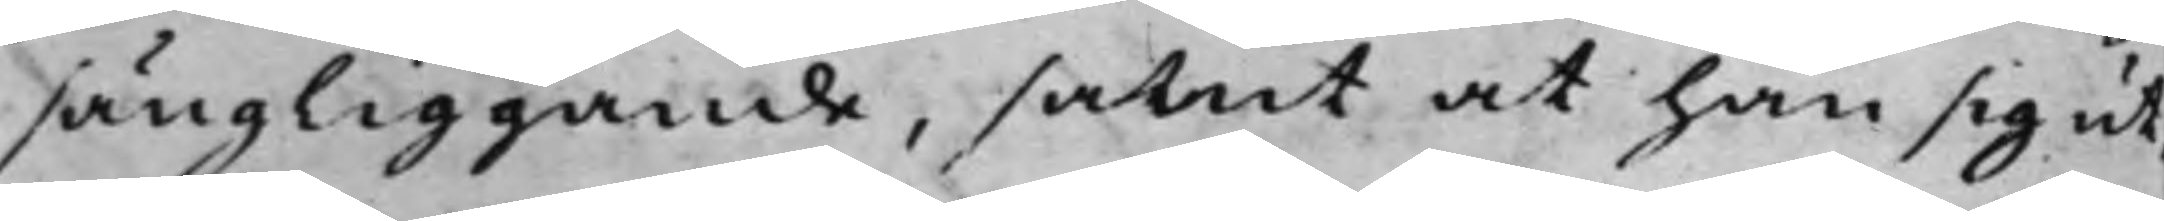sängliggande, samt at han sig ut¬
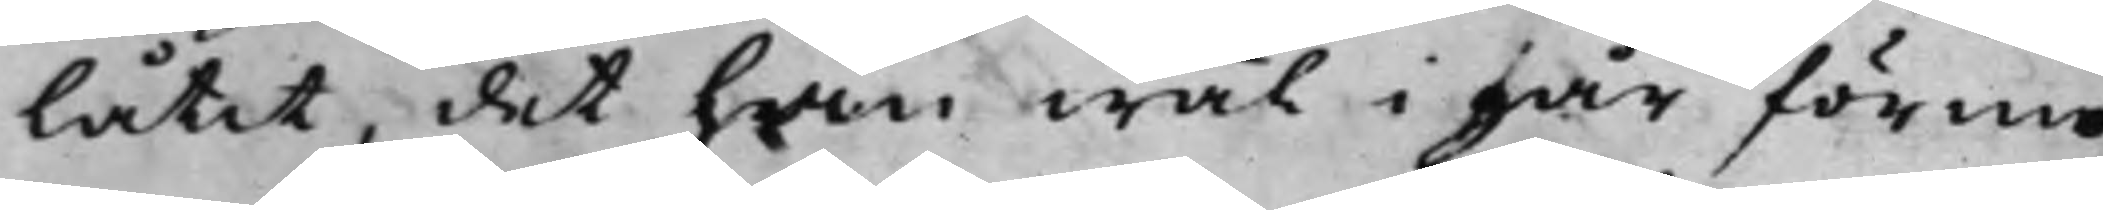låtit, det han wäl i går förmo¬
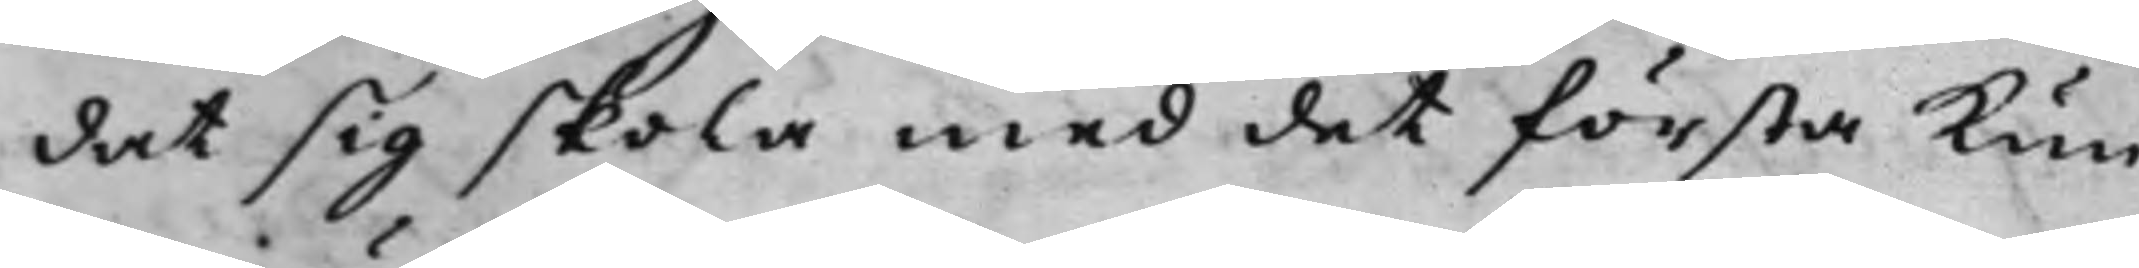dat sig skola med det första kun¬
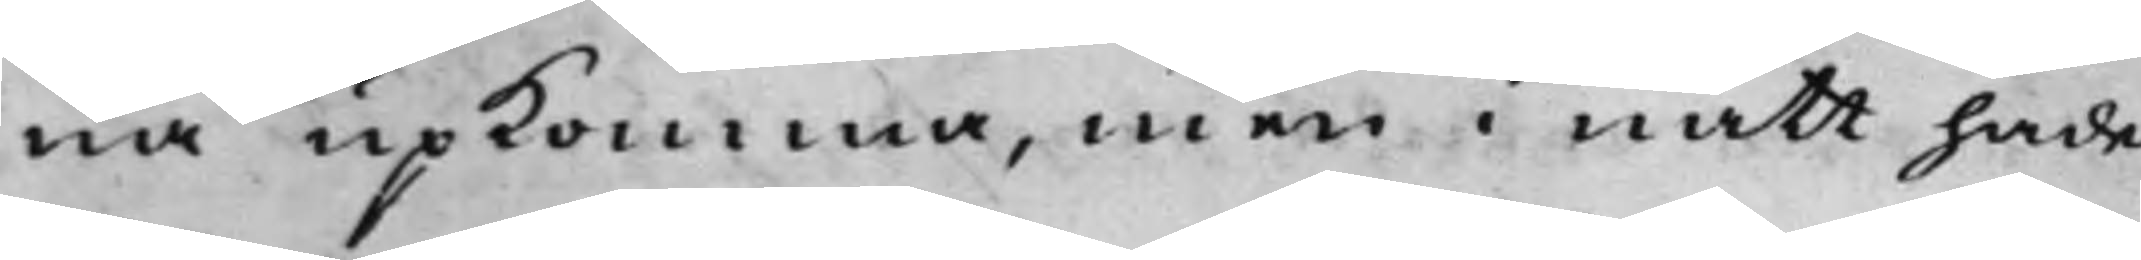na upkomma, men i natt hade
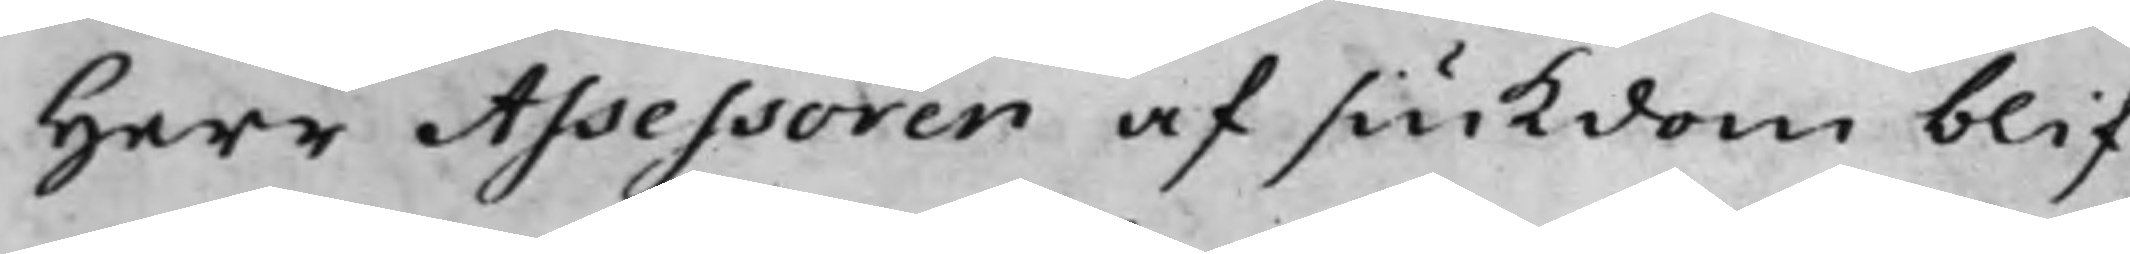Herr Assessoren af siukdom blif¬
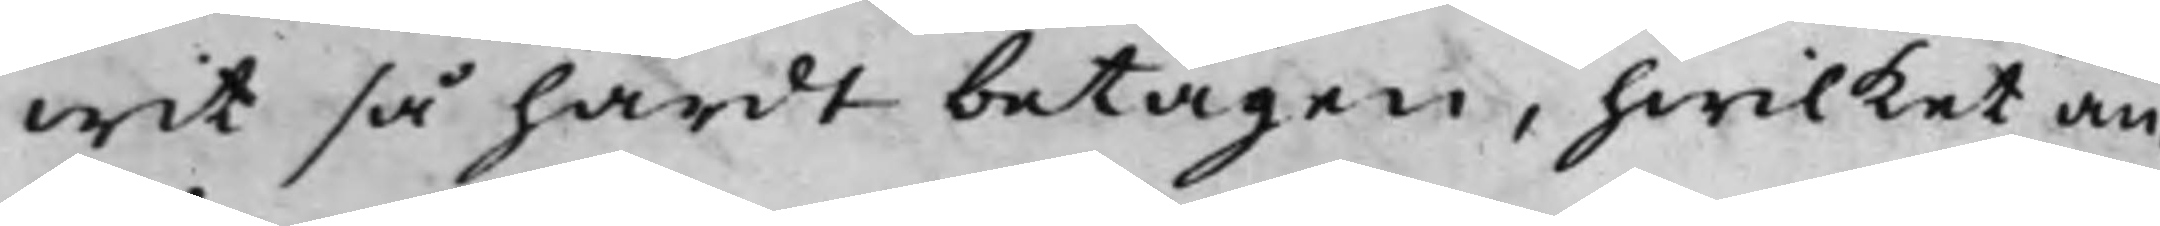wit så härdt betagen, hwilket än¬
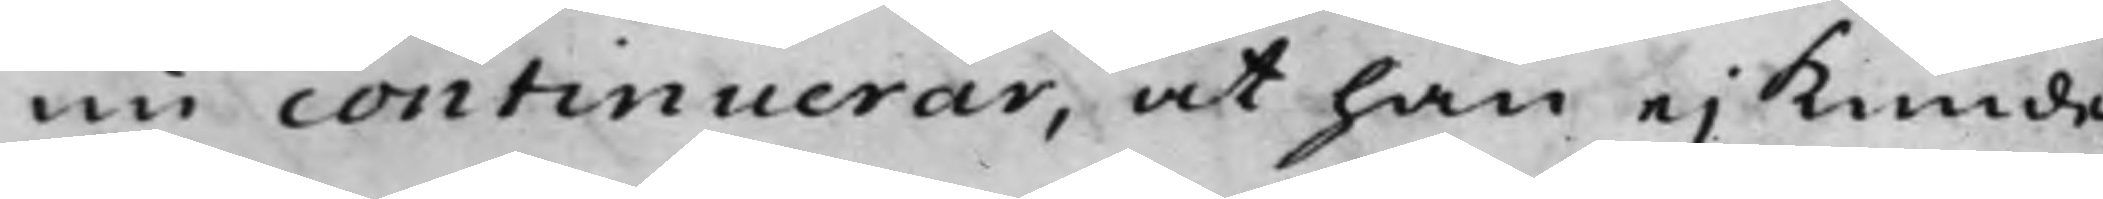nu continuerar, at han ei kunde
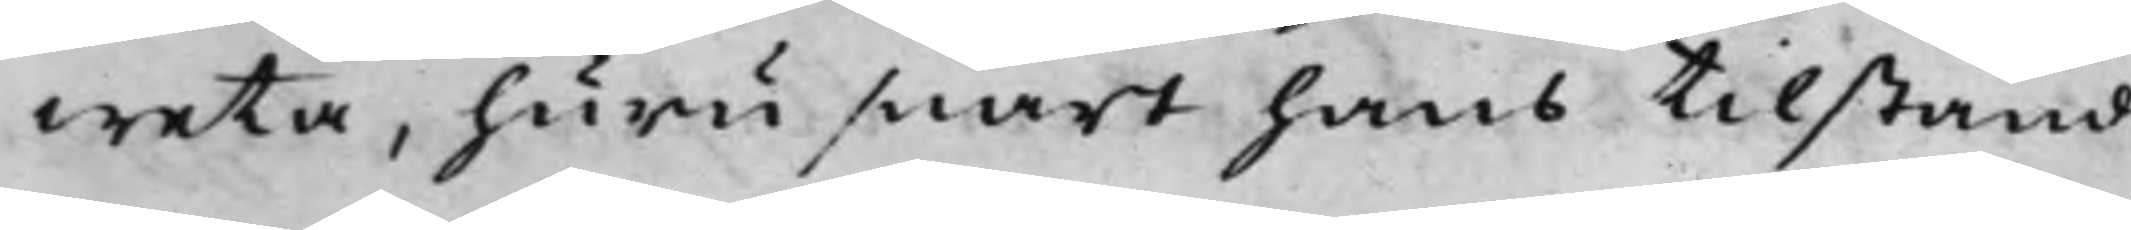weta, huru snart hans tillstånd
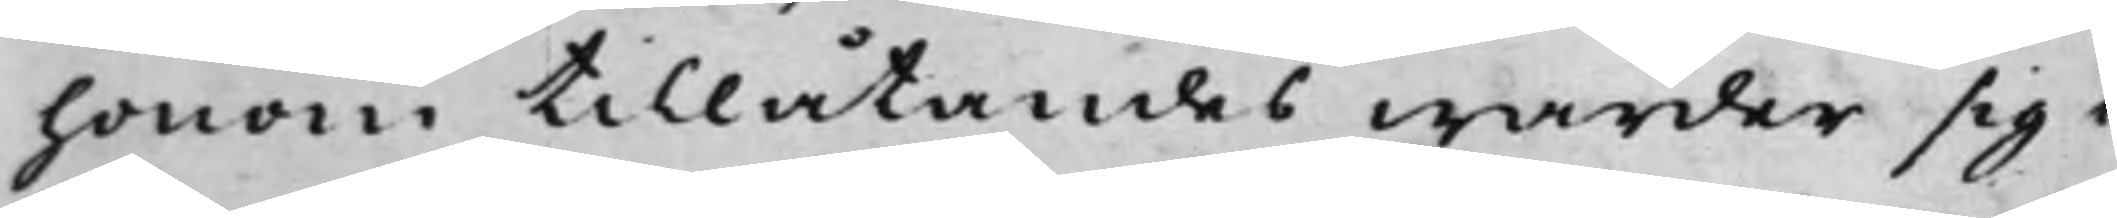honom tillåtandes warder sig i
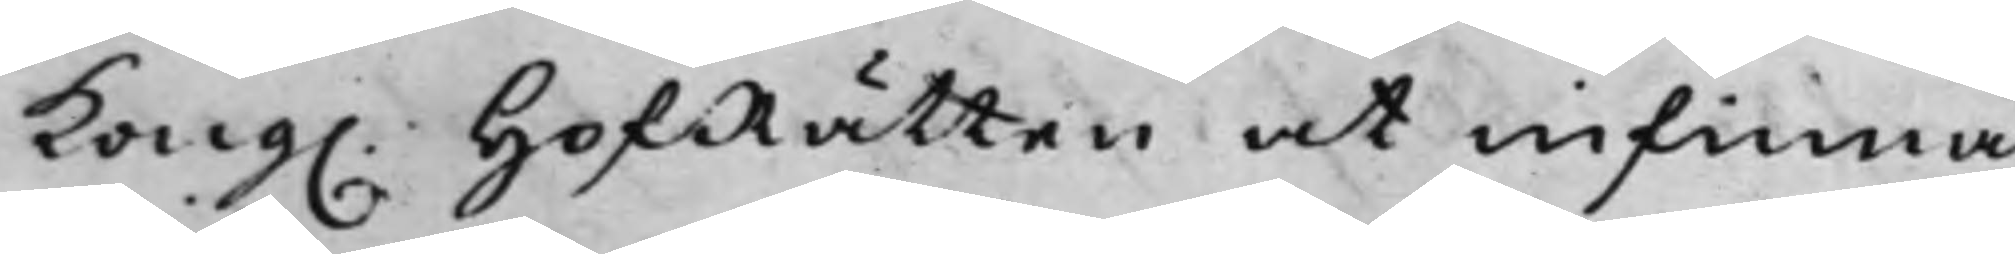Kong. HofRätten at infinna.
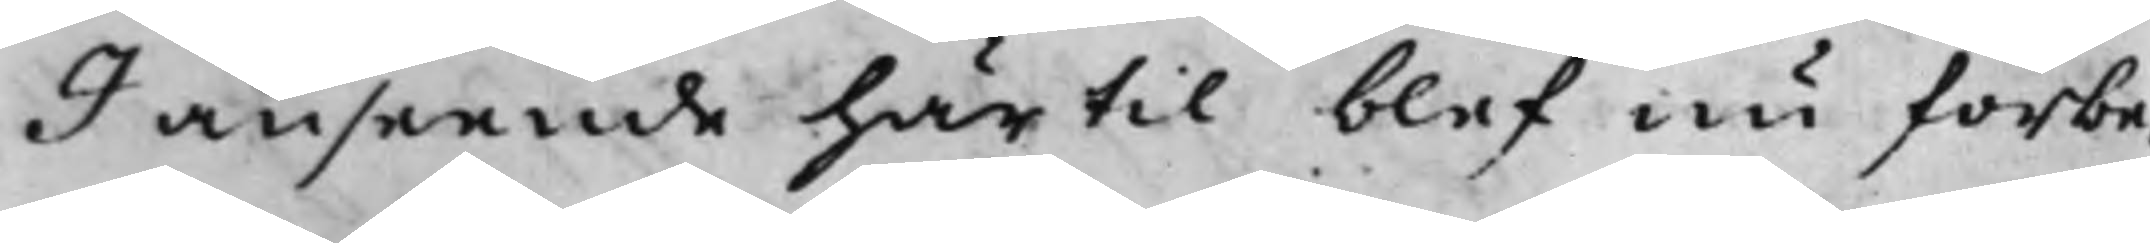I anseende härtill blef nu förbe¬
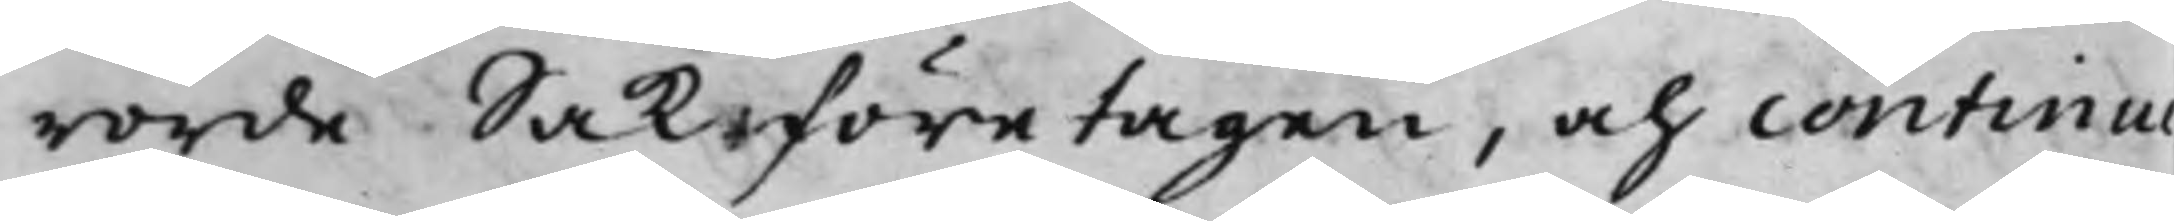rörde Sak företagen, och continue¬
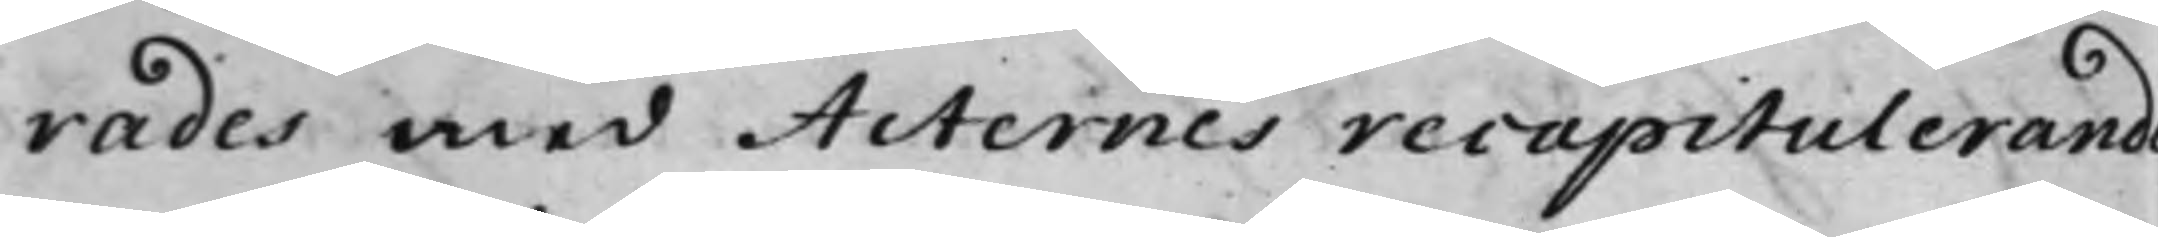rades med Acternes recapitulerande
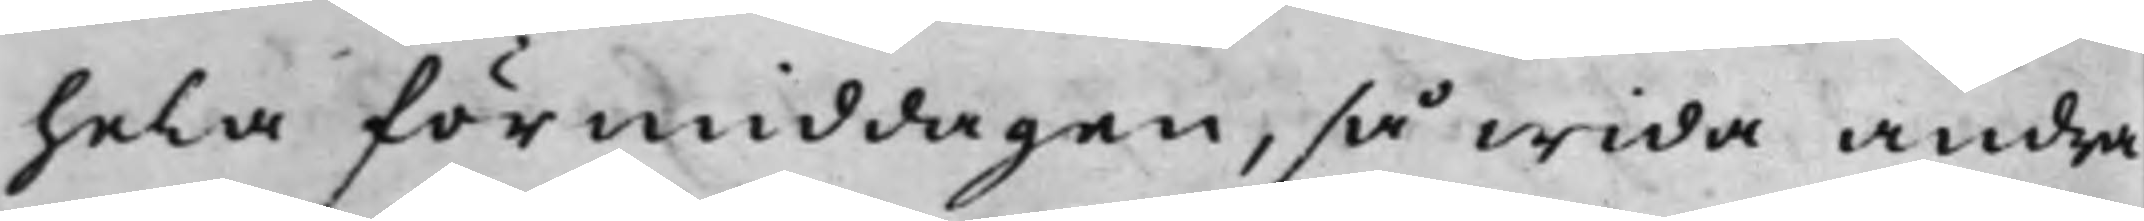hela förmiddagen, så wida andra
